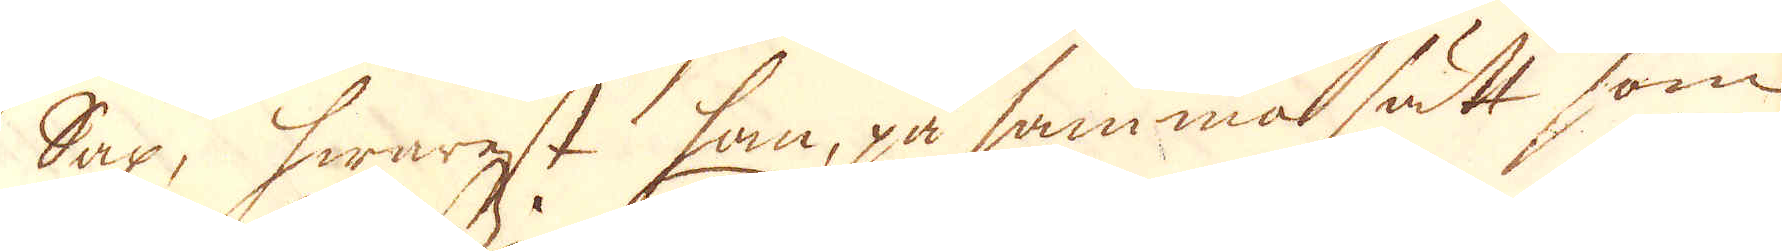Sax, hwarest han, på samma sätt som
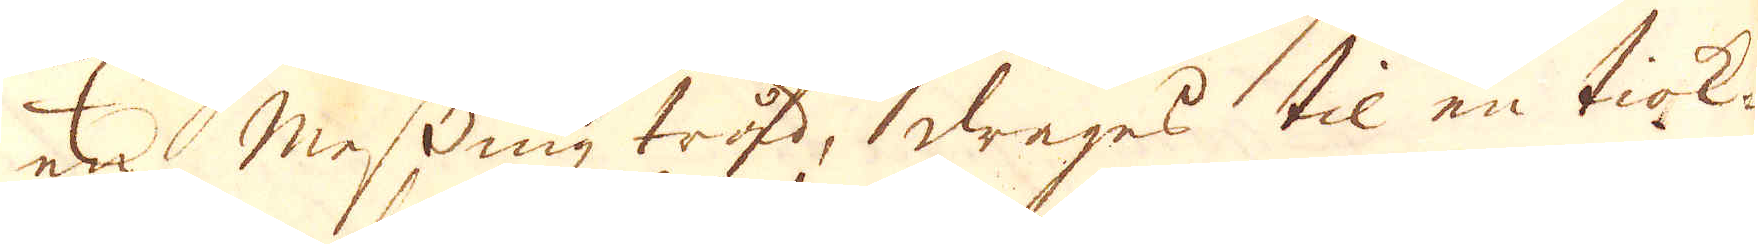en messing tråd, drages til en tiok-
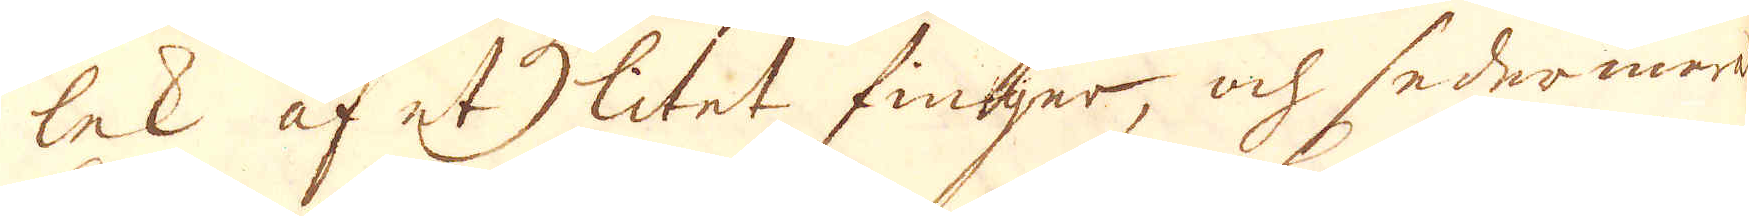lek af et litet finger, och sedermera
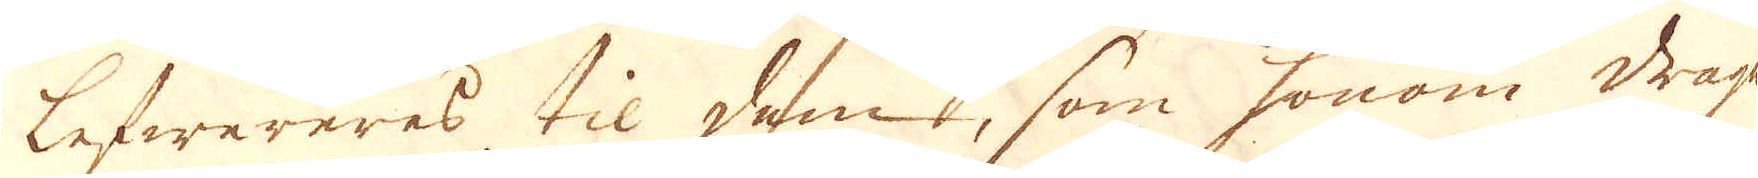lefwereras til dem, som honom drage
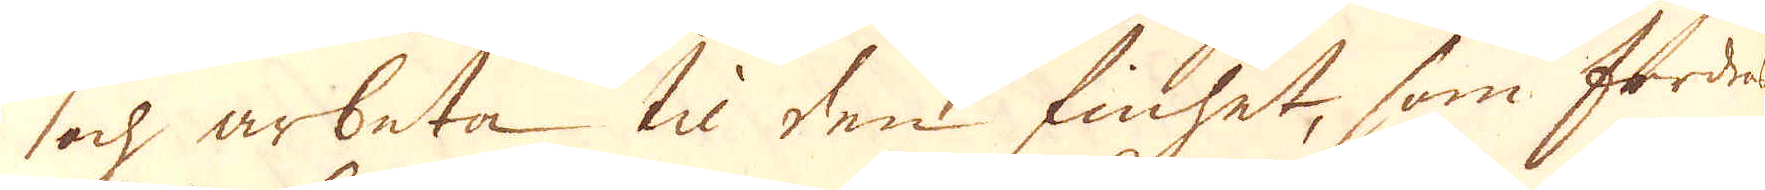och arbeta til den finhet, som fordres
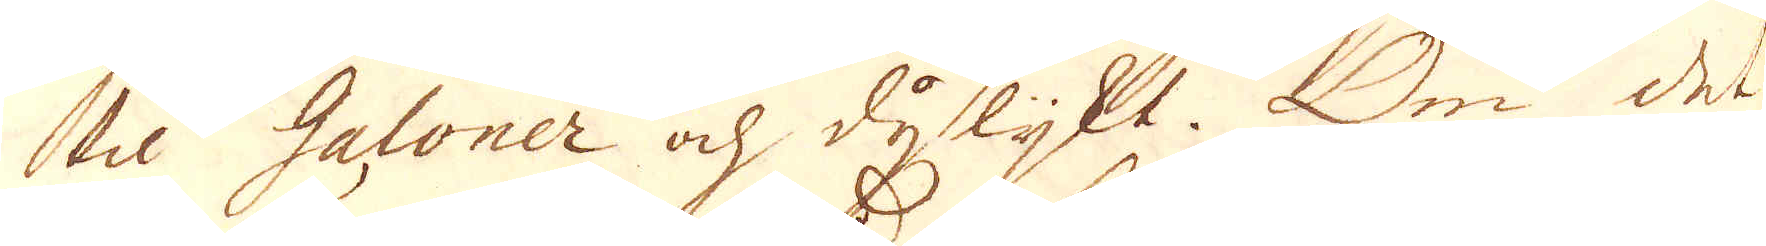til Galoner och dylijkt. Om det
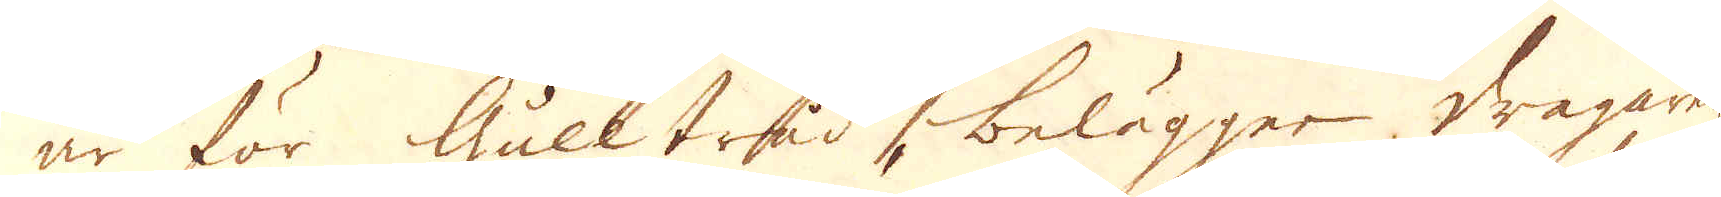är för Gulltråd, belägger dragaren
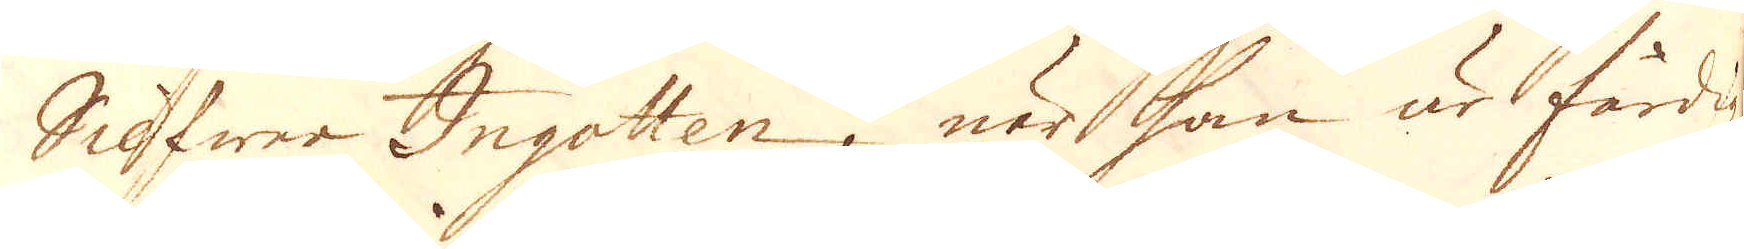Silfwer Ingotten, när han är färdig
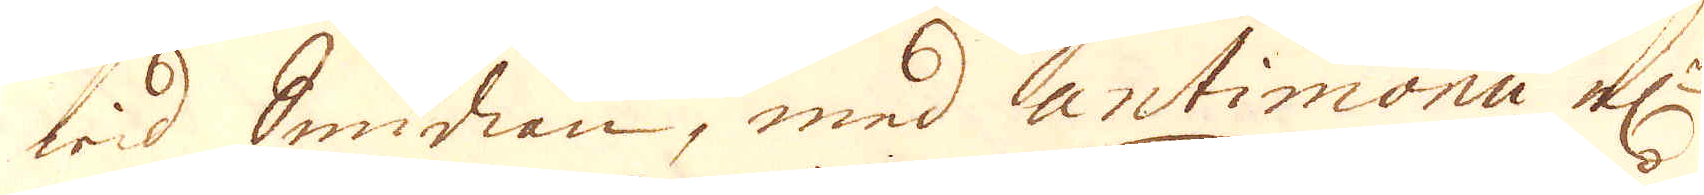wid Smidian, med antimonii el:r
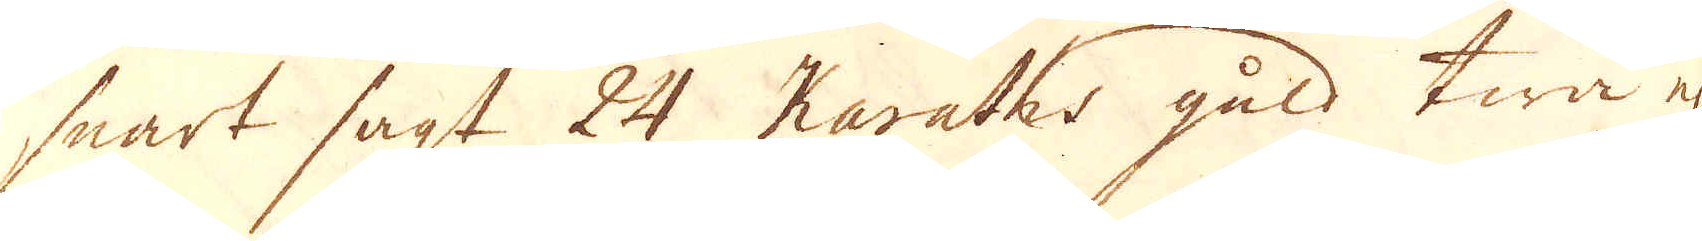snart sagt 24 Karaths guld twå el
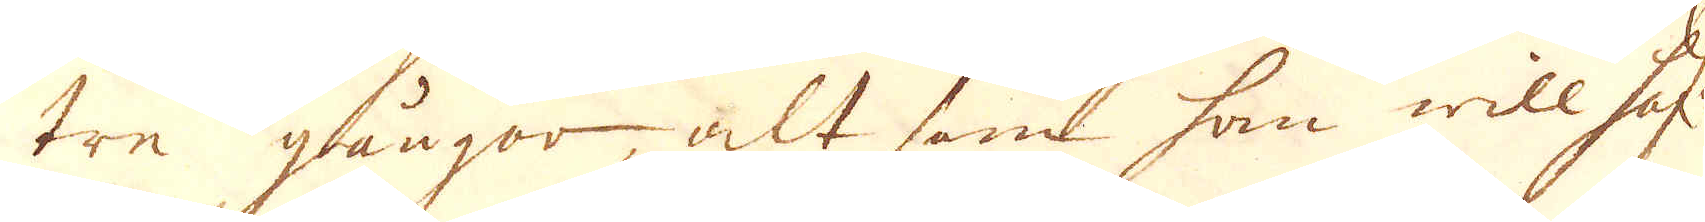tre gångor, alt som han will haf:a
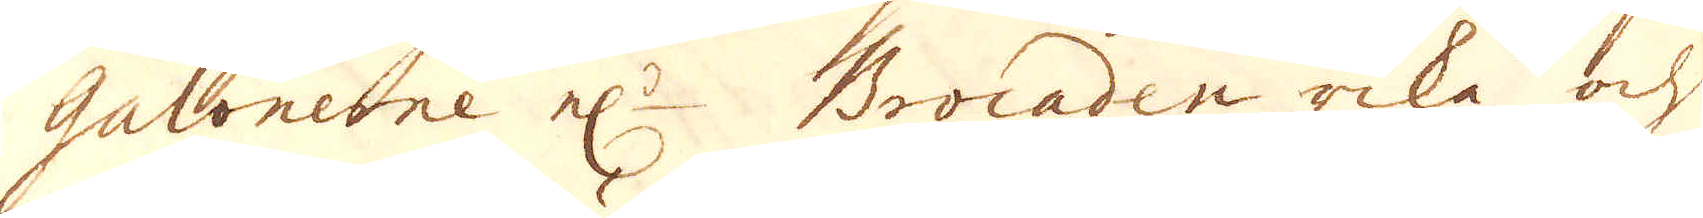Galonerne el:r Brocaden rike och
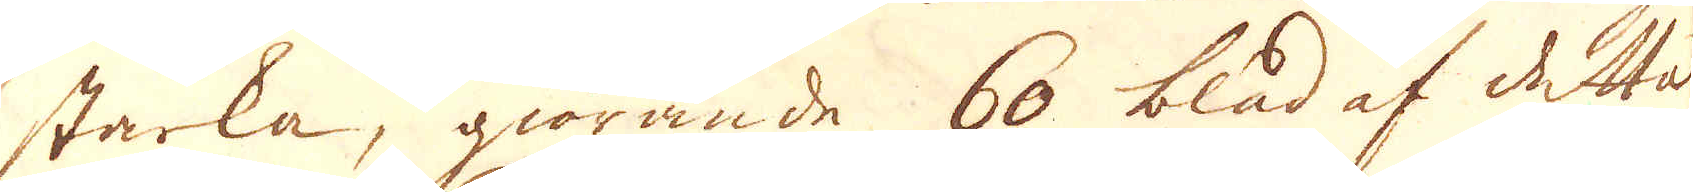starka, giörande 60 blad af detta
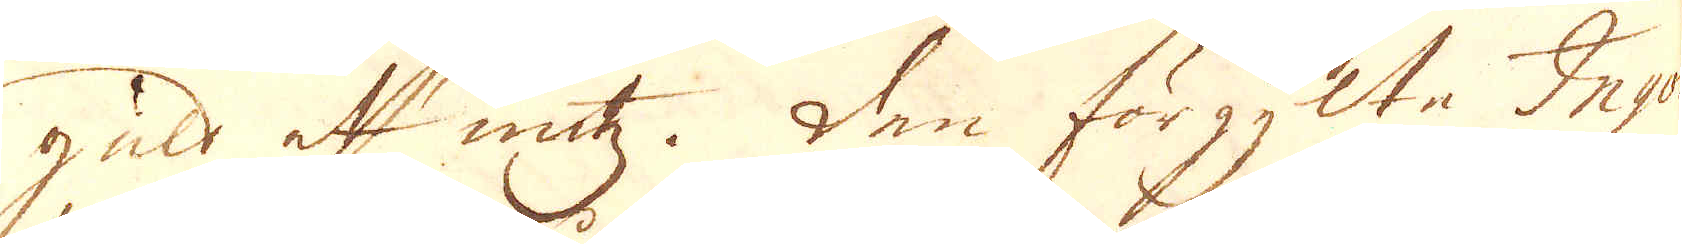guld et untz. Den förgylte Ingo-
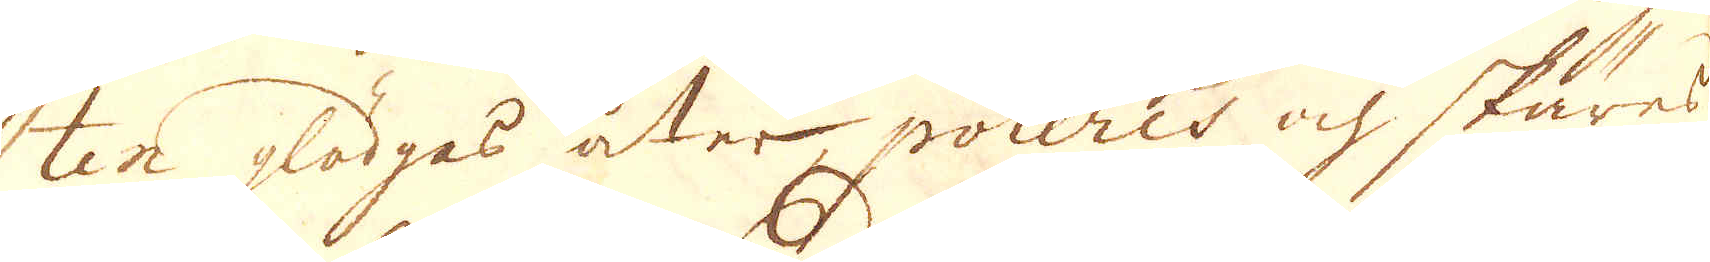ten glödgas åter, poleres och skäres
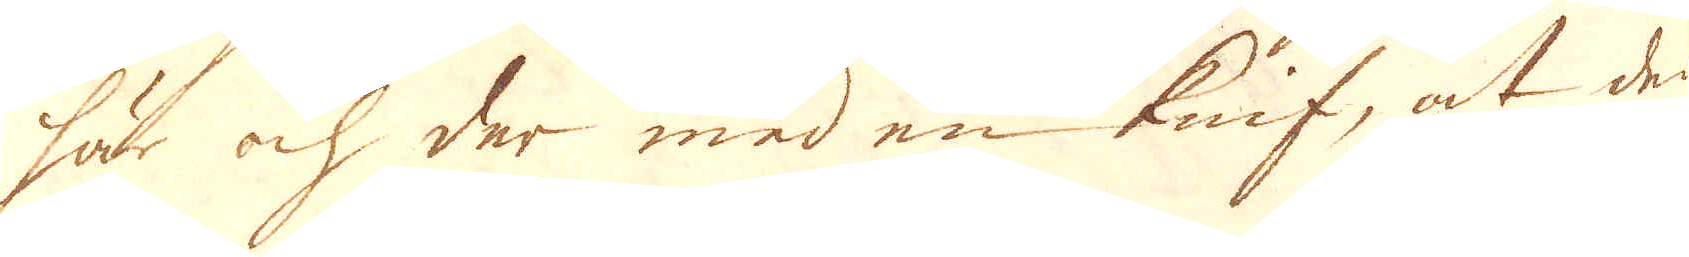här och der med en knif, at den
